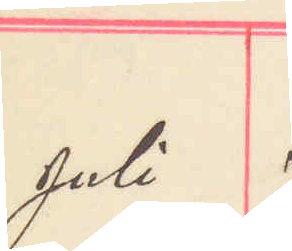Juli 7
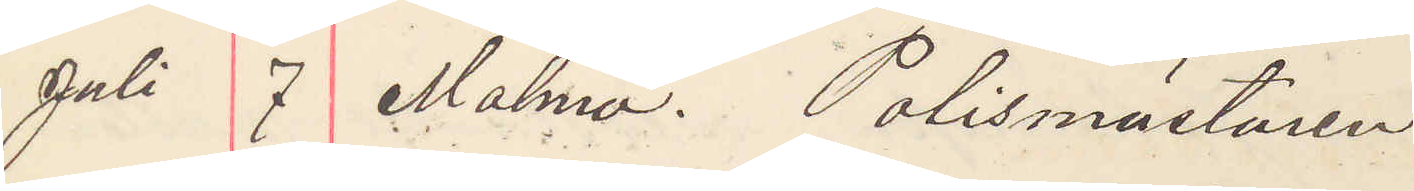Juli 7 Malmö. Polismästaren
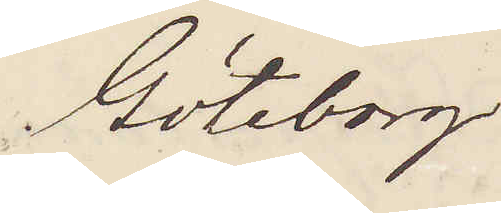Göteborg
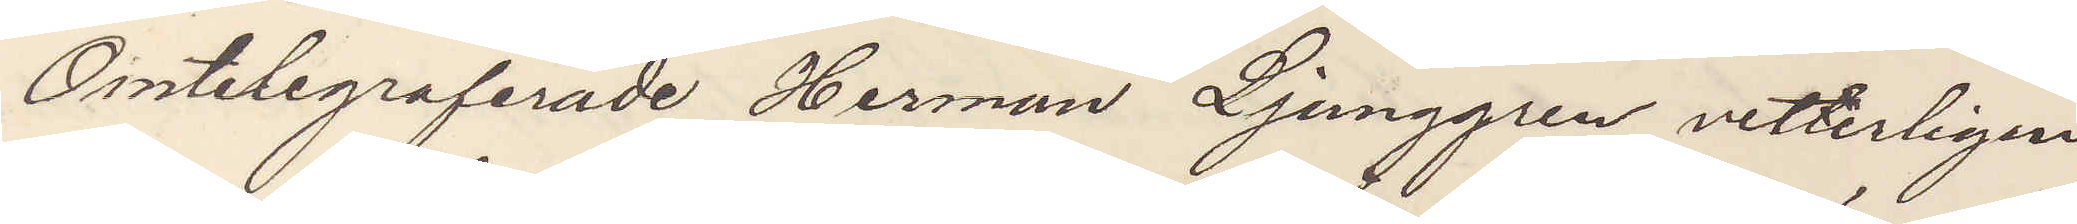Omtelegraferade Herman Ljunggren vetterligen
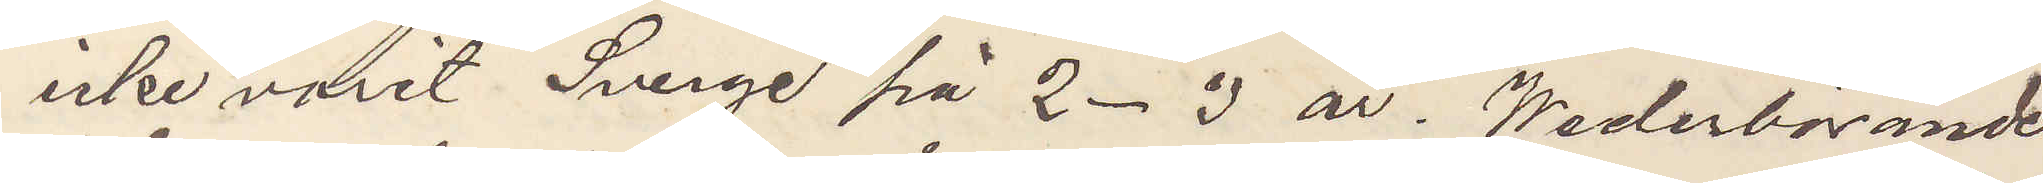icke varit i Sverige på 2-3 år. Wederbörande
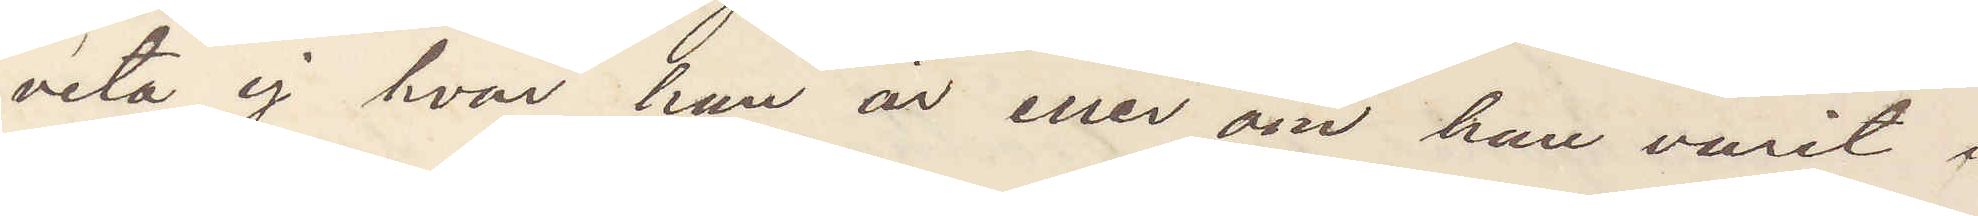veta ej hvar han är eller om han varit i
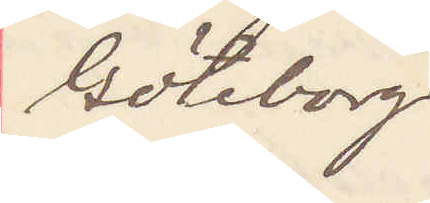Göteborg
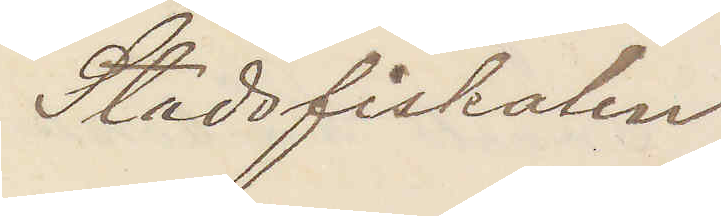Stadsfiskalen
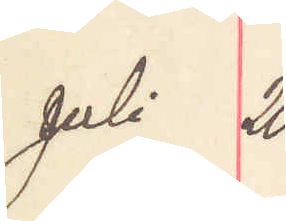Juli 20
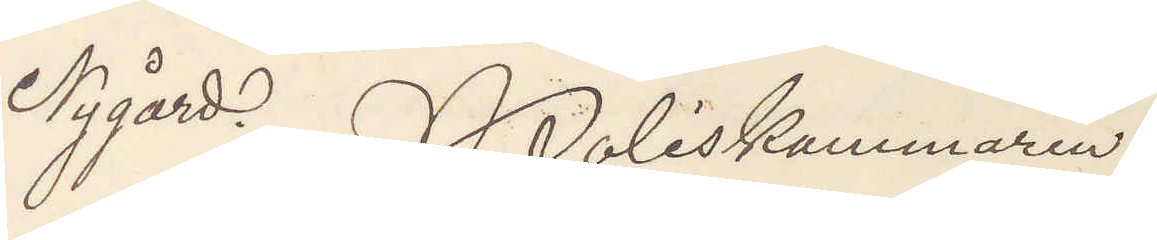Nygård. Poliskammaren
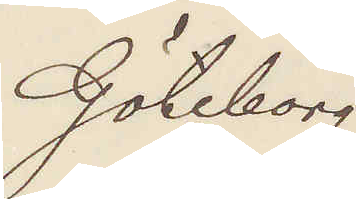Göteborg.
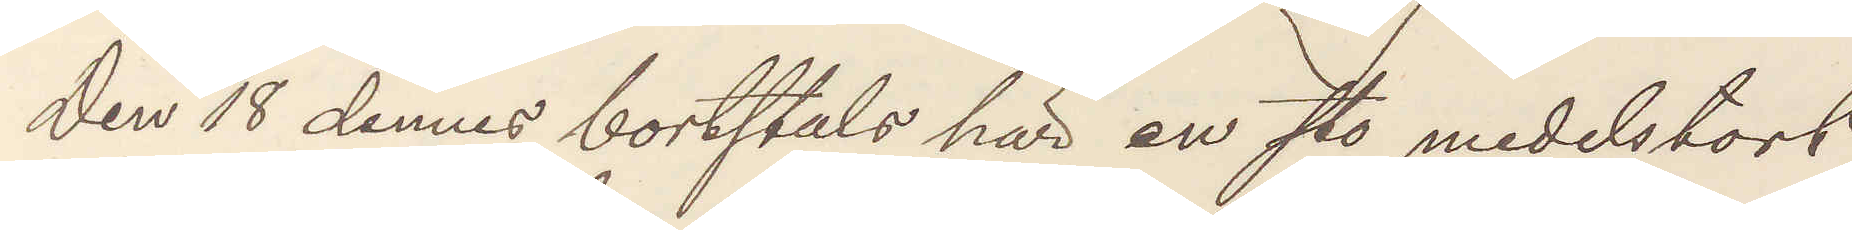Den 18 dennes bortstals här en sto medelstort,
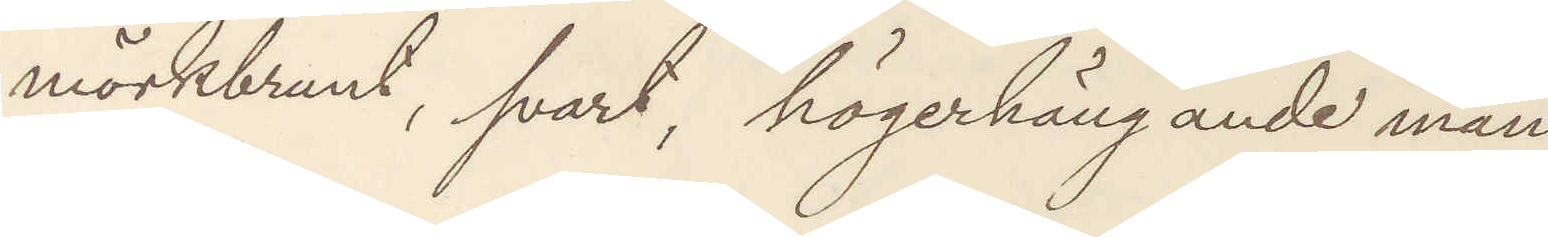mörkbrunt, svart, högerhängande man.
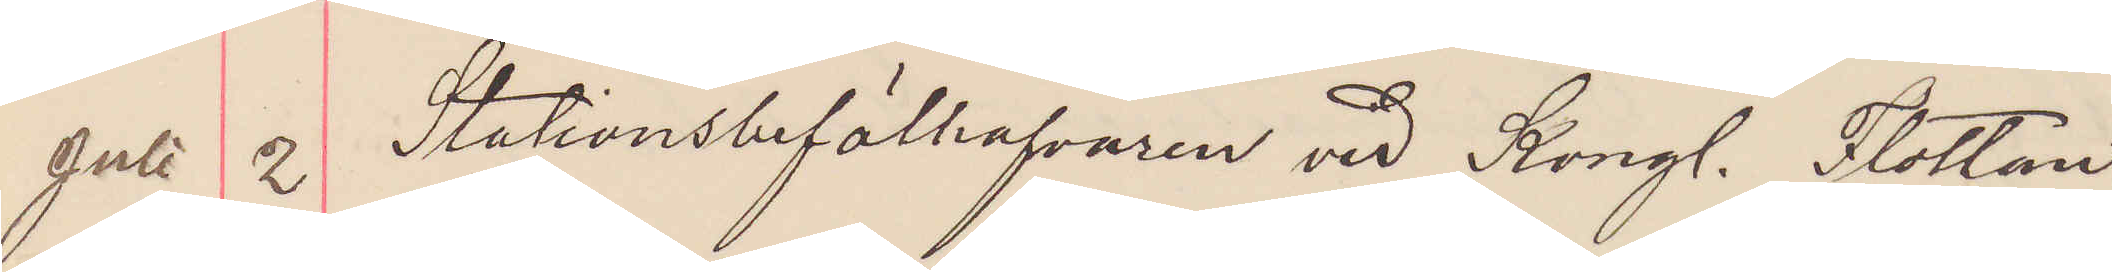Juli 2 Stationsbefälhafvaren vid Kongl. Flottan
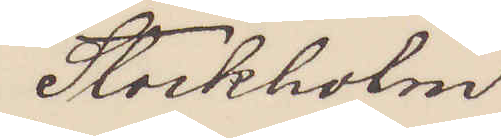Stockholm
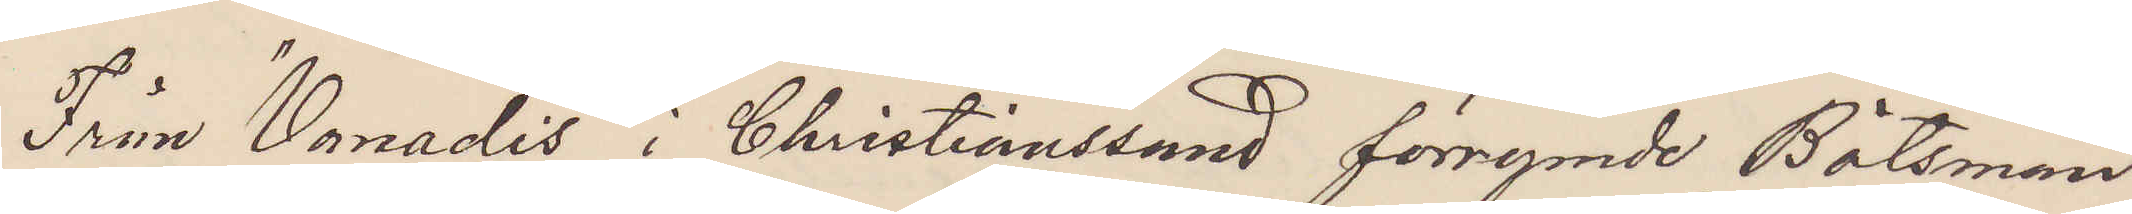Från "Vanadis" i Christiansand förrymde Båtsman¬
